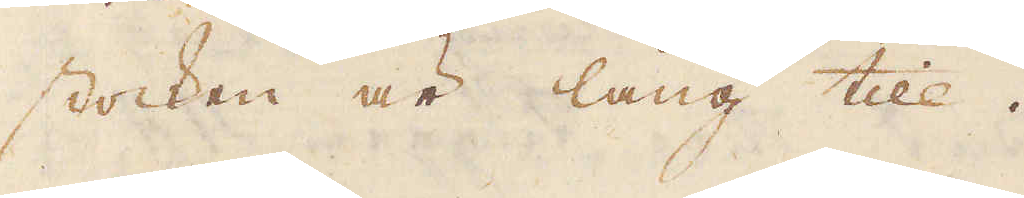stocken är lång till.
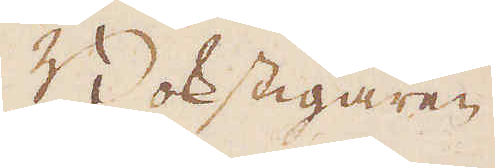Bokstigaren
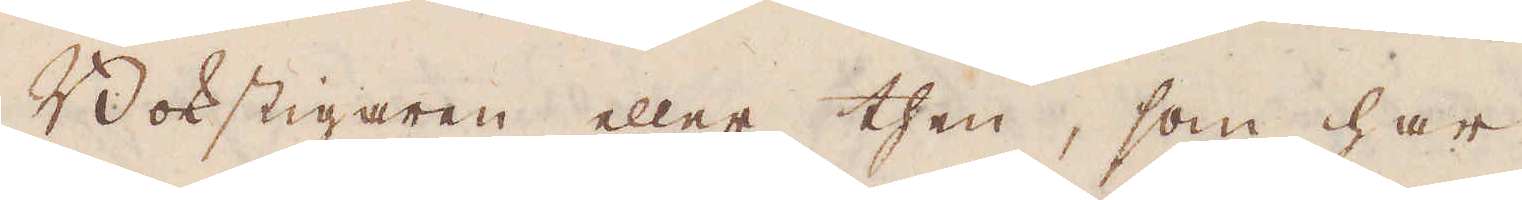Bokstigaren eller then, som har
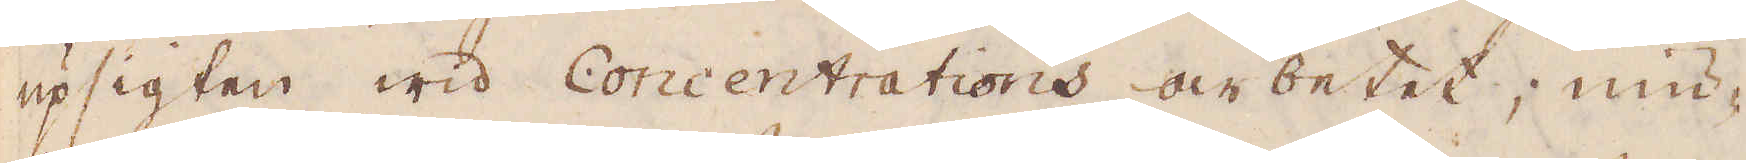upsigten wid Concentrations arbetet; niu-
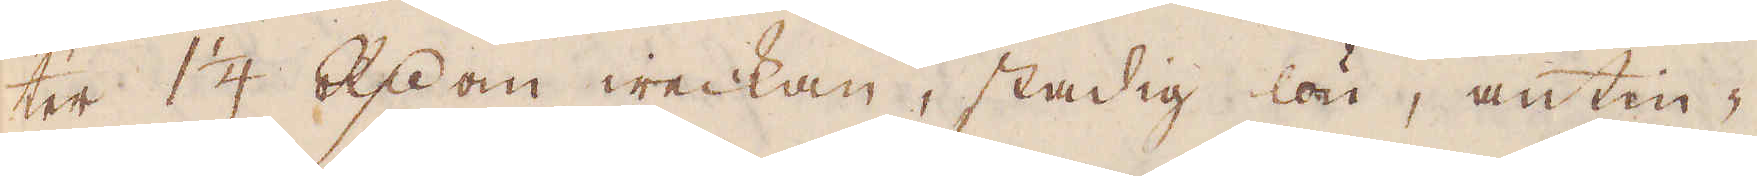ter 1 1/4 R:dr om weckan, stadig lön, antin-
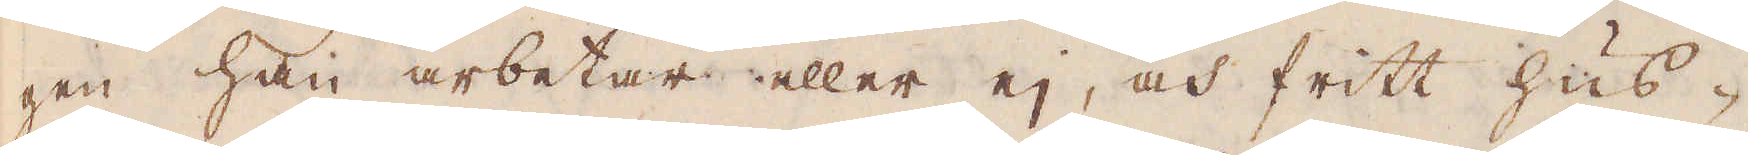gen han arbetar eller ej, och fritt hus-
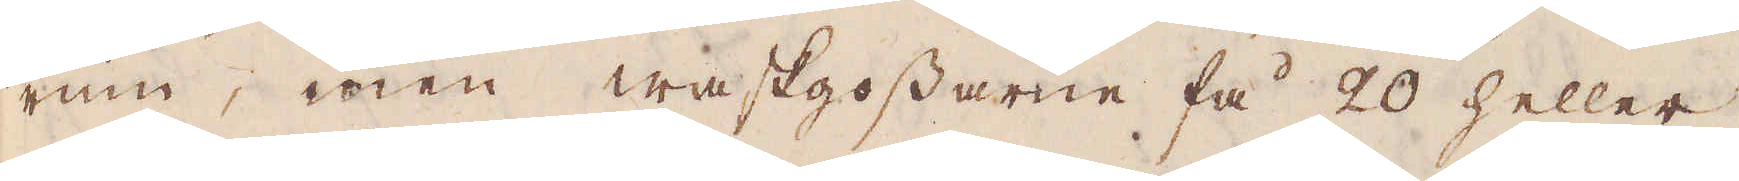rum, men waskgossarne få 20 heller
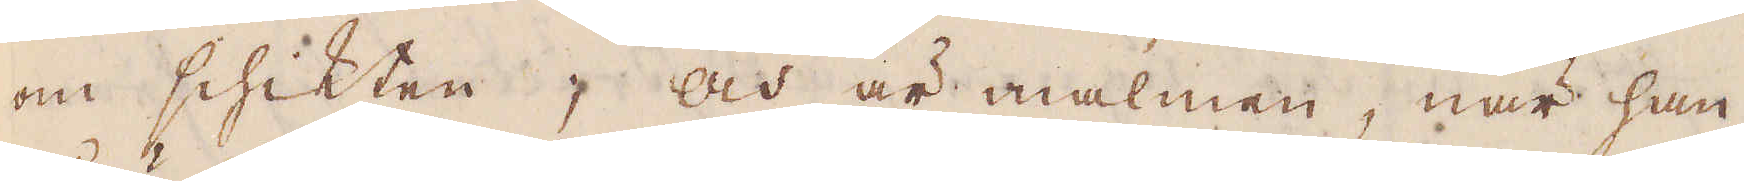om schikten, och är malmen, när han
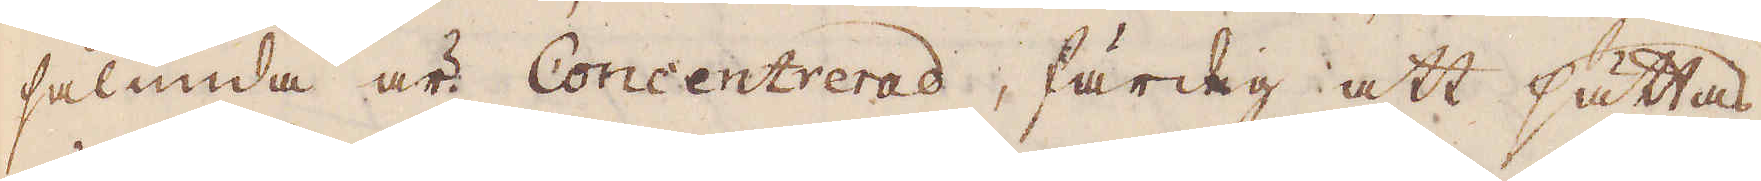sålunda är Concentrerad, färdig att sättas
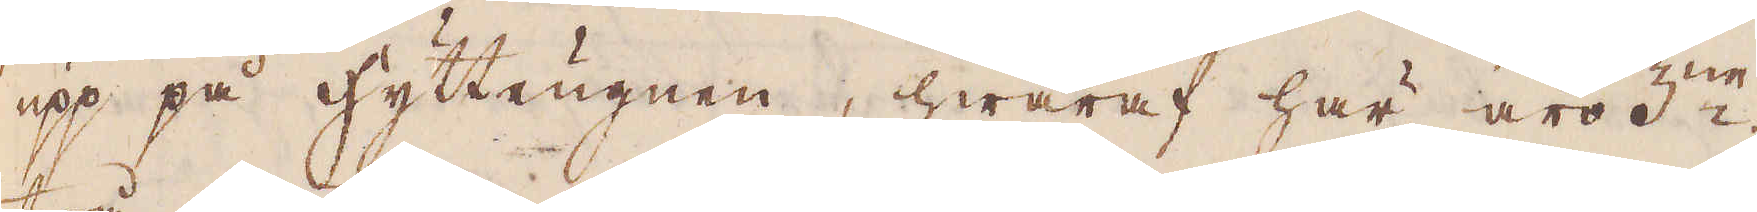upp på hytteugnen, hwaraf här äro 3:ne;
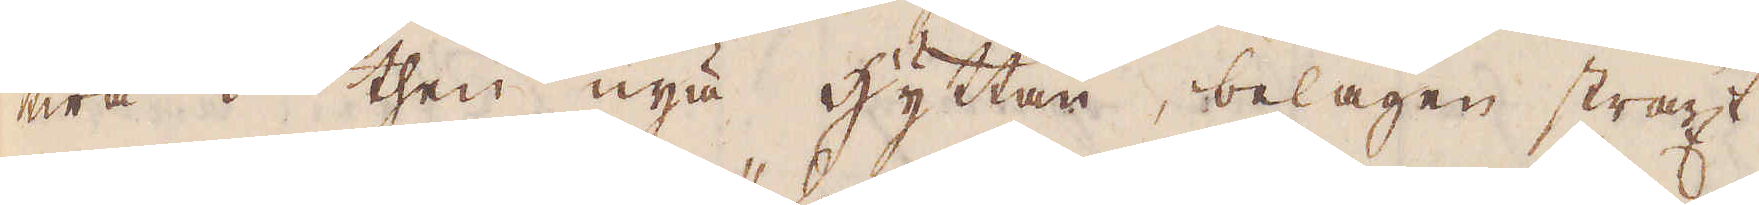twå i then nya hyttan, belägen straxt
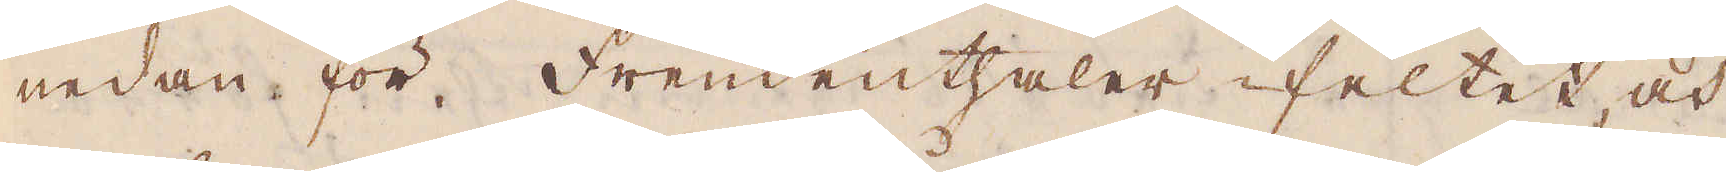nedan för Freündenthaler-feltet, och
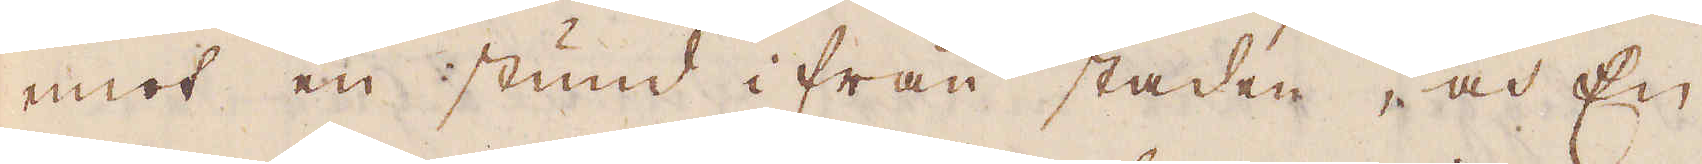emot en stund ifrån staden, och En
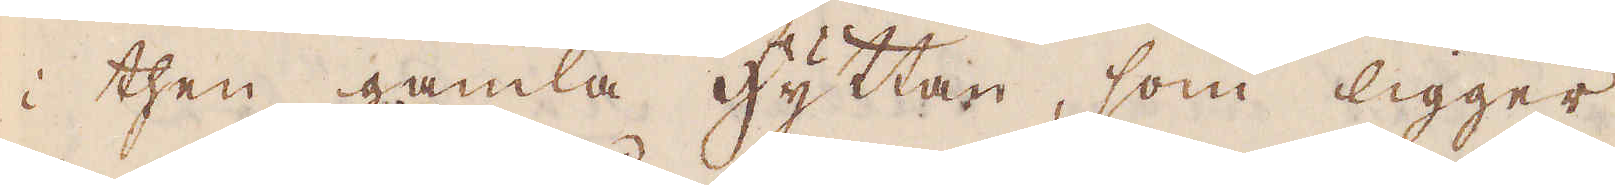i then gamla hyttan, som ligger
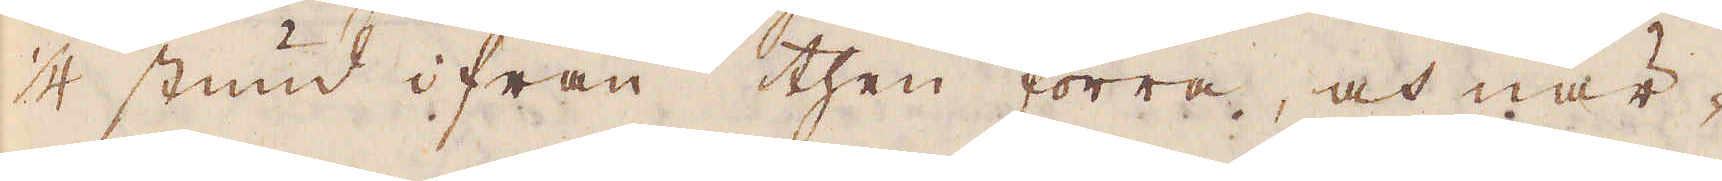1/4 stund ifrån then förra, och när-
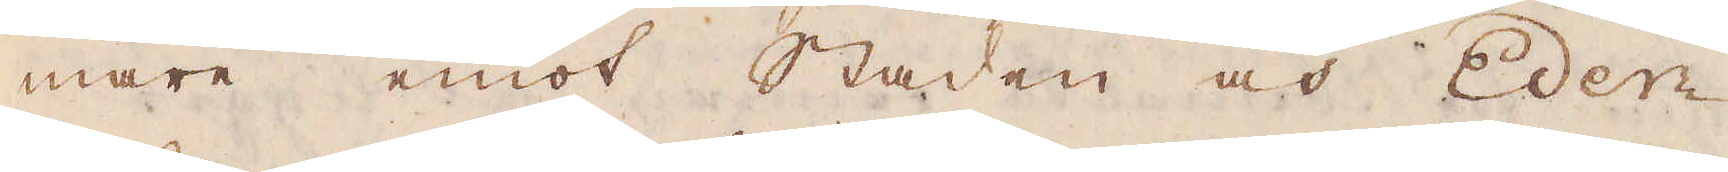mare emot staden och Eder-
